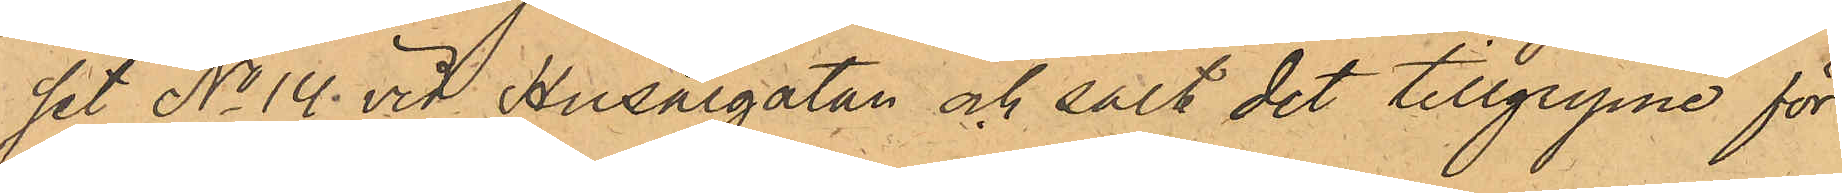set No 14 vid Husargatan och sålt det tillgripne för
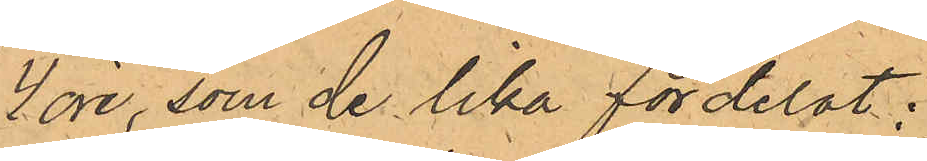4 öre, som de lika fördelat;
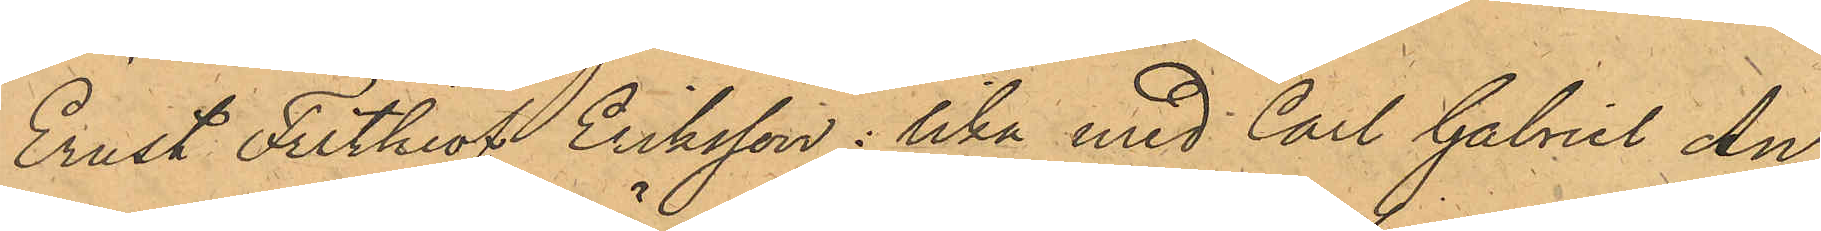Ernst Frithiof Eriksson: lika med Carl Gabriel An¬
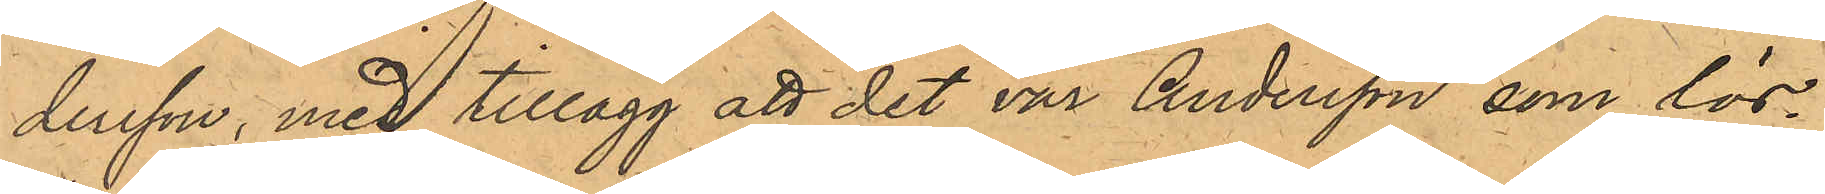dersson, med tillägg att det var Andersson som lös¬
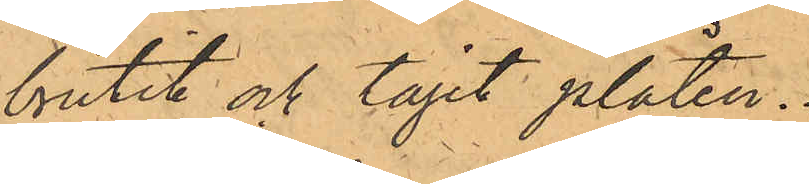brutit och tagit plåten.
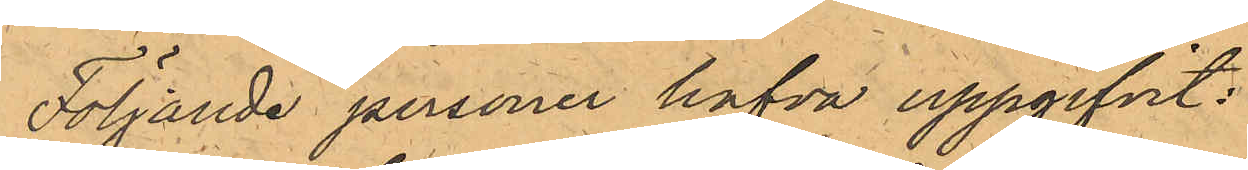Följande personer hafva uppgifvit:
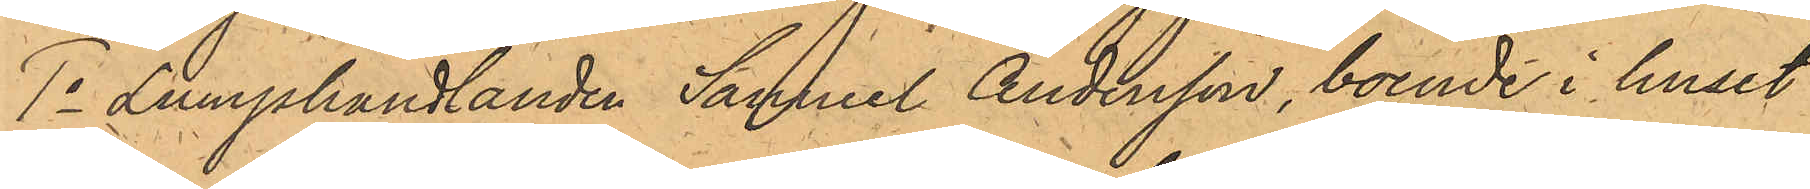1o Lumphandlanden Samuel Andersson, boende i huset
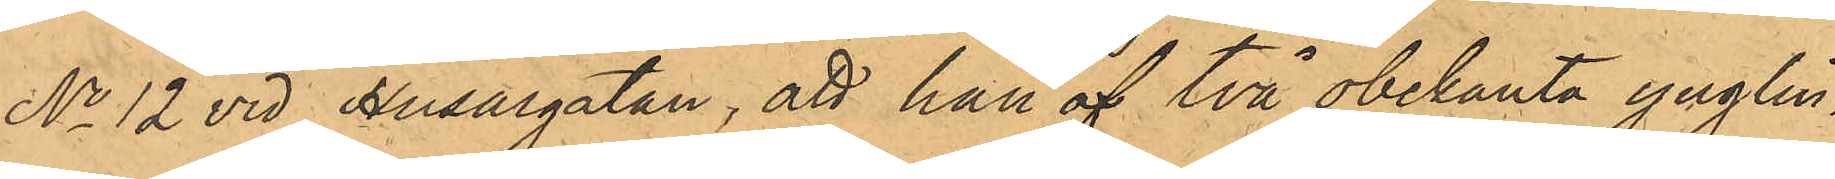No 12 vid Husargatan, att han af två obekante ynglin¬
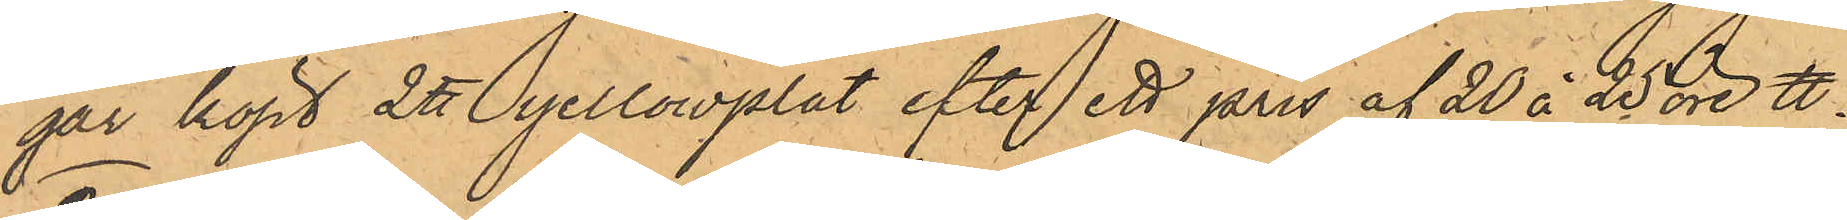gar köpt 2 ℔ yellowplåt efter ett pris af 20 à 25 öre ℔;
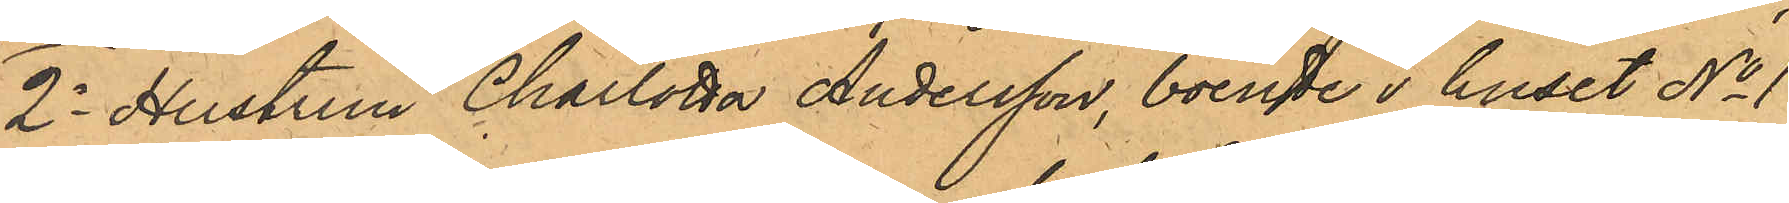2o Hustrun Charlotta Andersson, boende i huset No 1
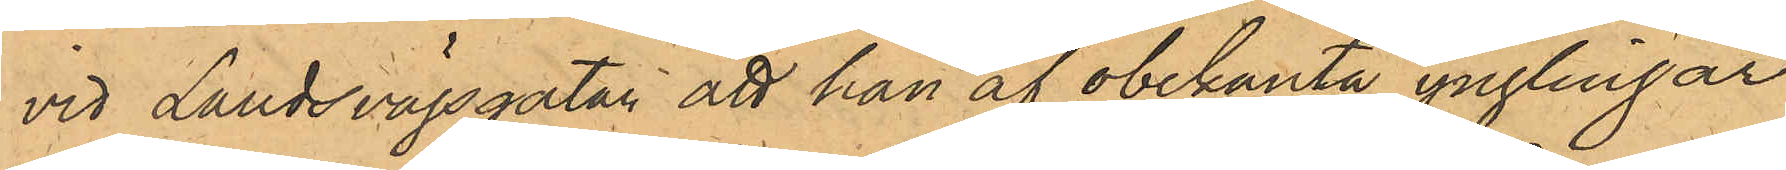vid Landsvägsgatan att hon af obekanta ynglingar
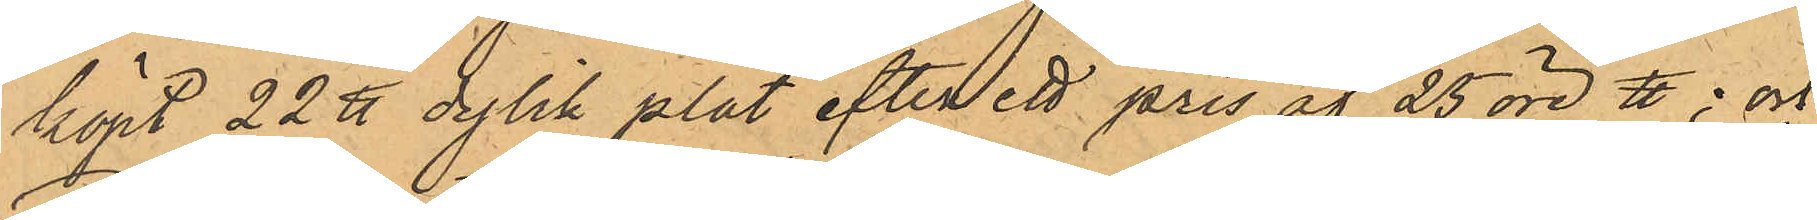köpt 22 ℔ dylik plåt efter ett pris af 25 öre ℔: och
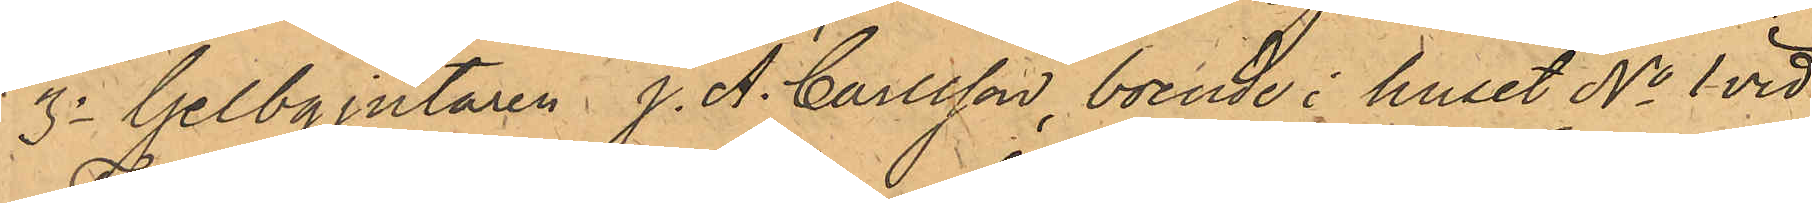3o Gelbgjutaren J. A. Carlsson, boende i huset No 1 vid
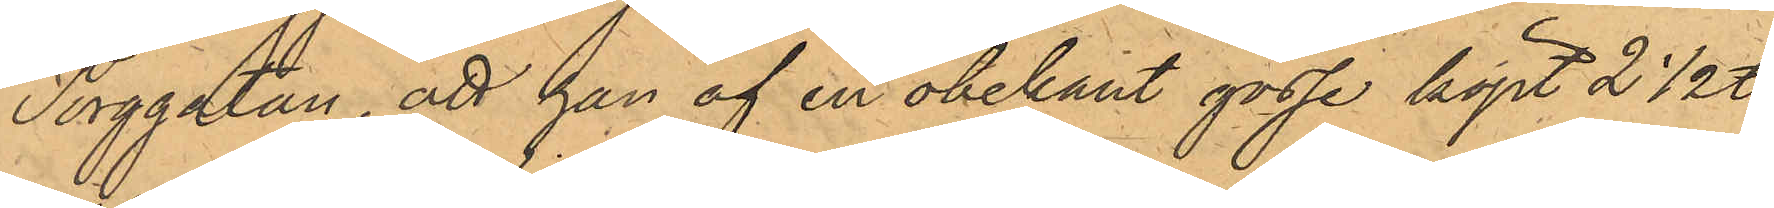Torggatan, att han af en obekant gosse köpt 2 1/2 ℔
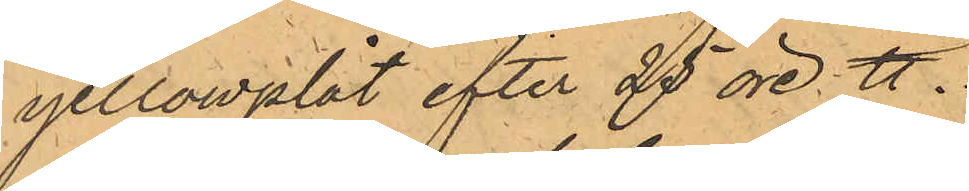yellowplåt efter 25 öre ℔.
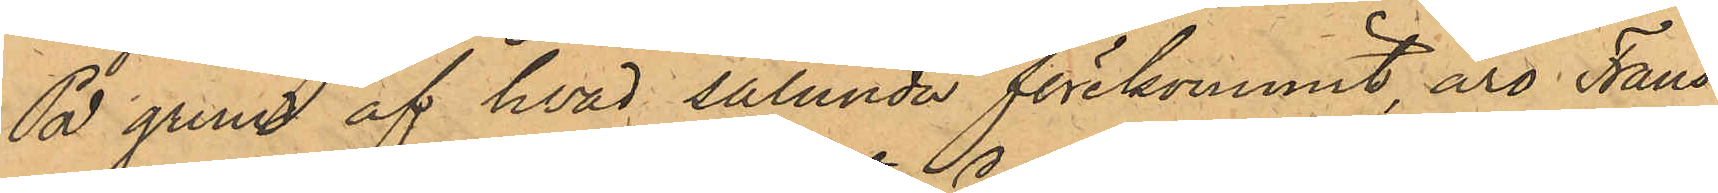På grund af hvad sålunda förekommit äro Frans
